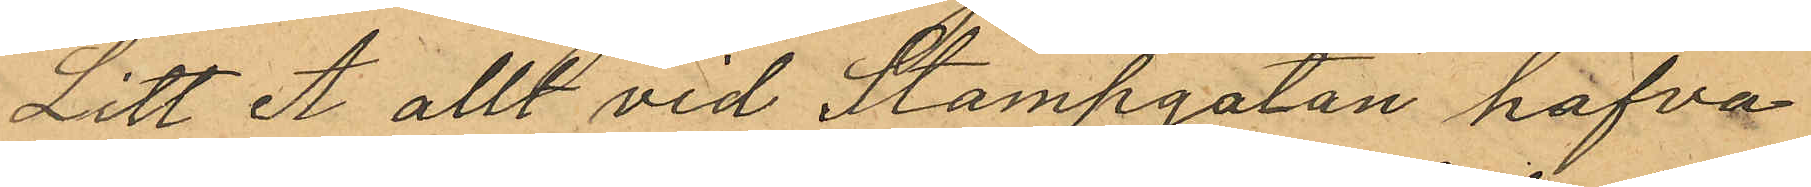Litt A allt vid Stampgatan hafva
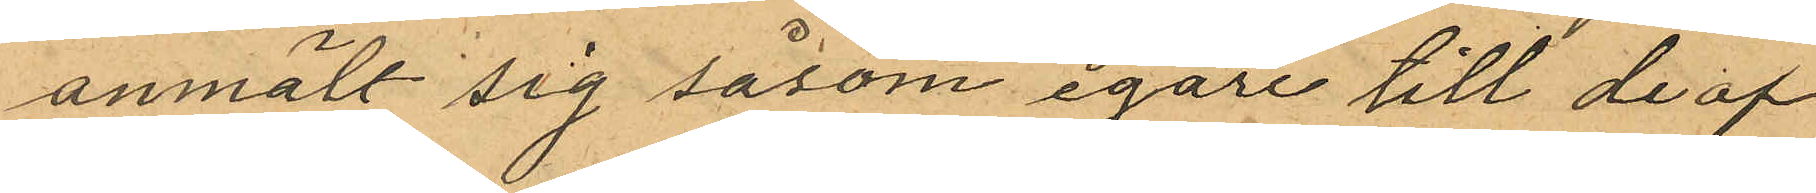anmält sig såsom egare till de af
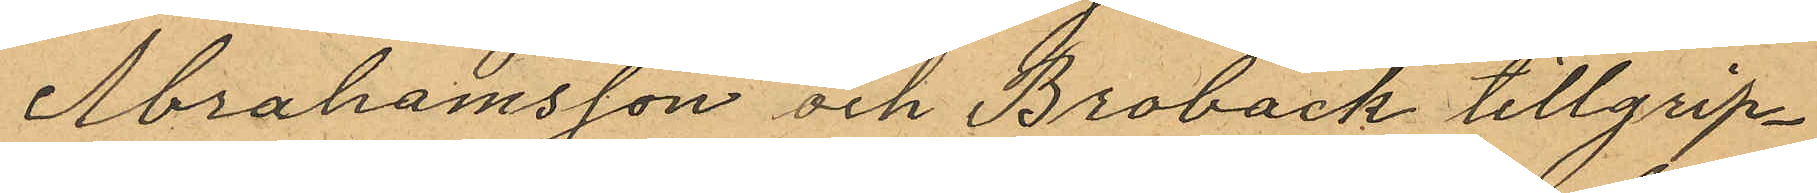Abrahamsson och Broback tillgrip¬
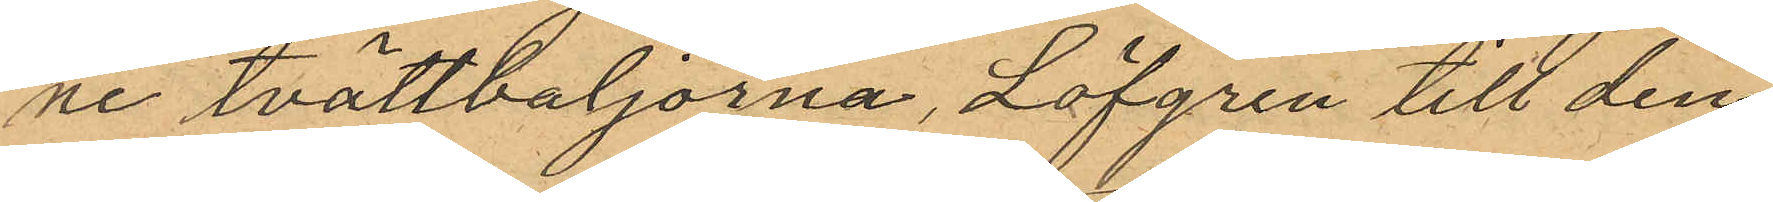ne tvättbaljorna, Löfgren till den
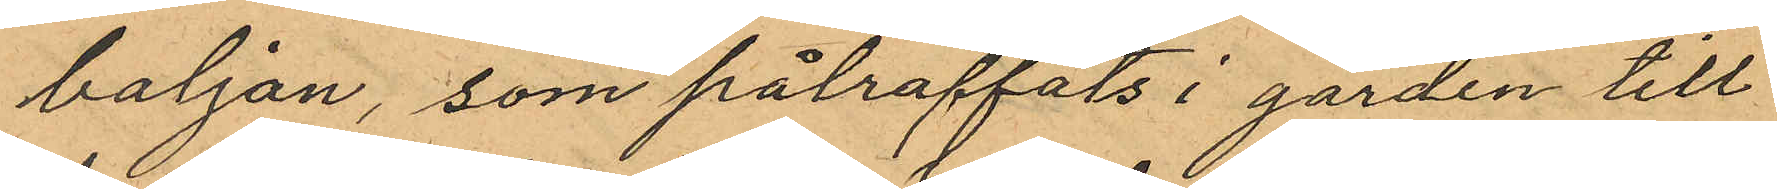baljan, som påträffats i garden till
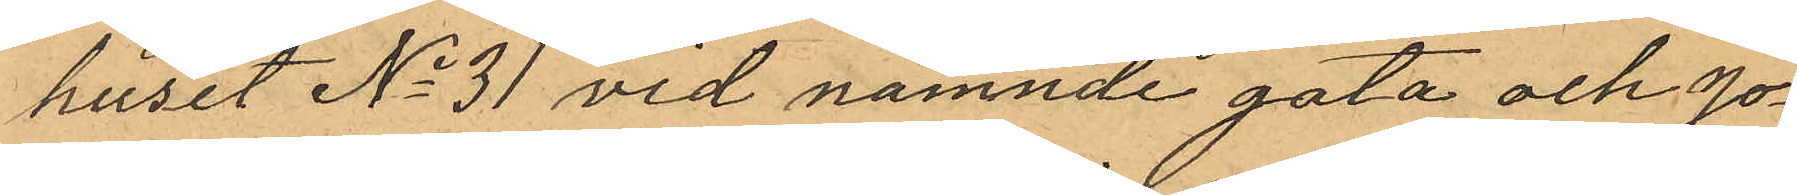huset No 31 vid nämnde gata och Jo¬
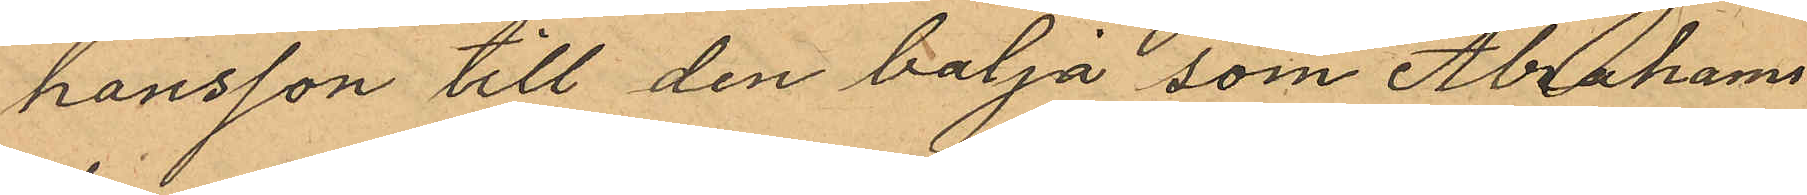hansson till den balja som Abrahams¬
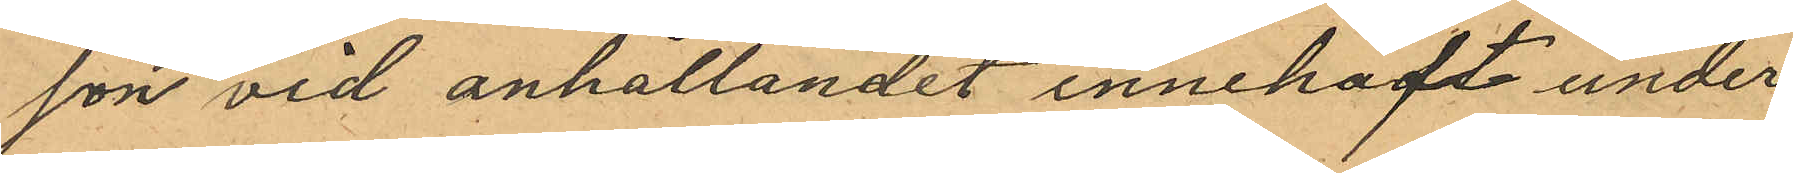son vid anhållandet innehaft under
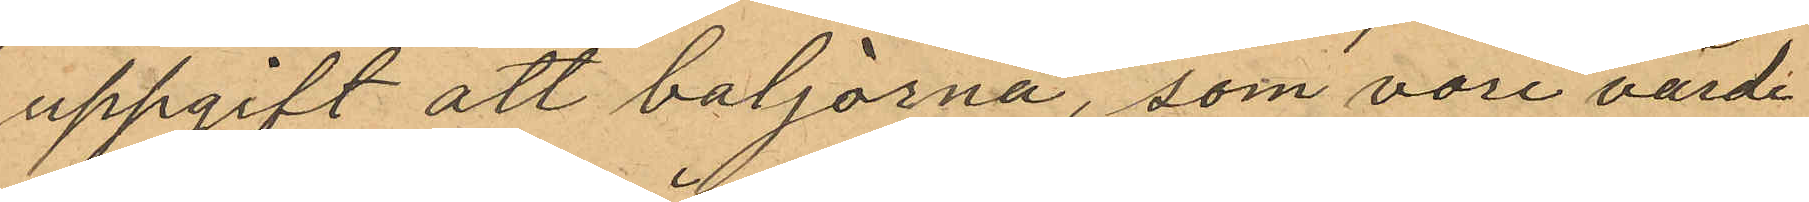uppgift att baljorna, som vore värde
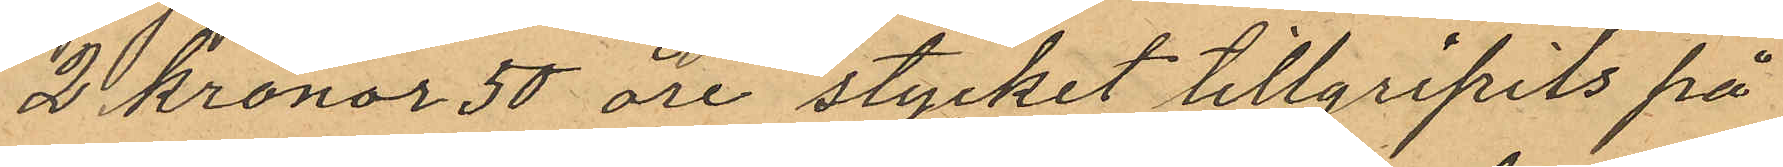2 Kronor 50 öre stycket tillgripits på
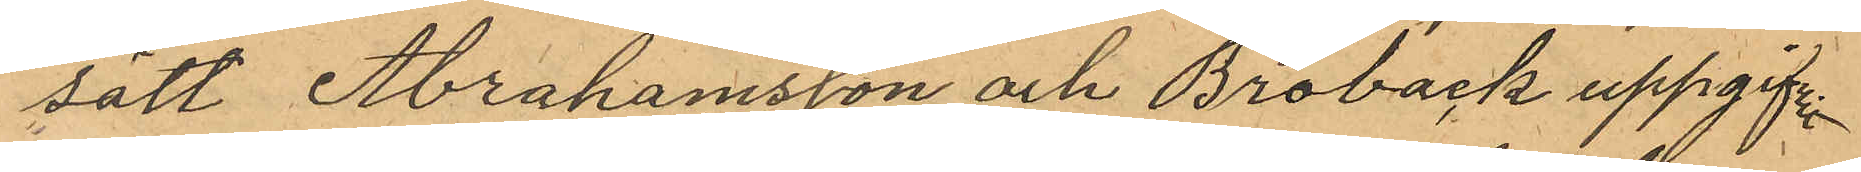sätt Abrahamsson och Broback uppgifvit
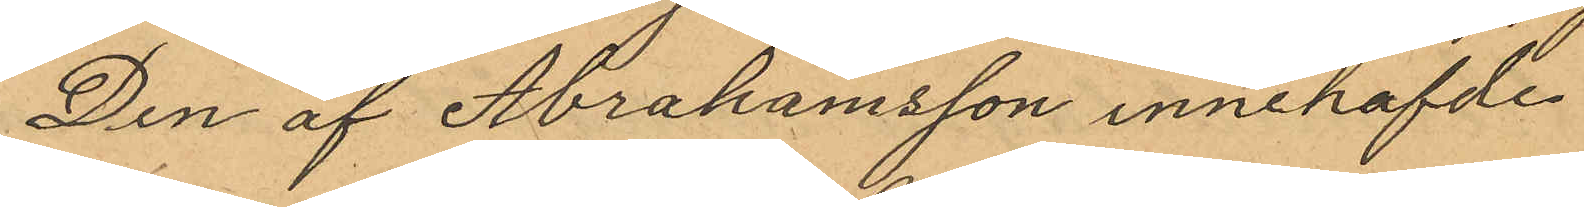Den af Abrahamsson innehafvde
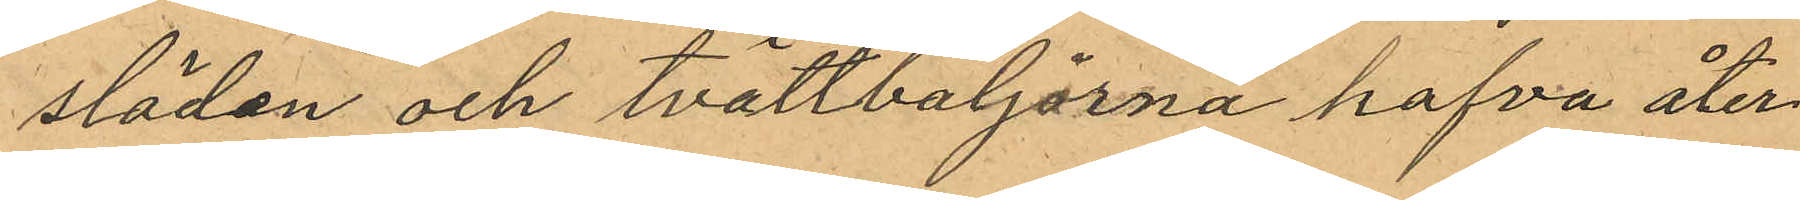släden och tvättbaljorna hafva åter¬
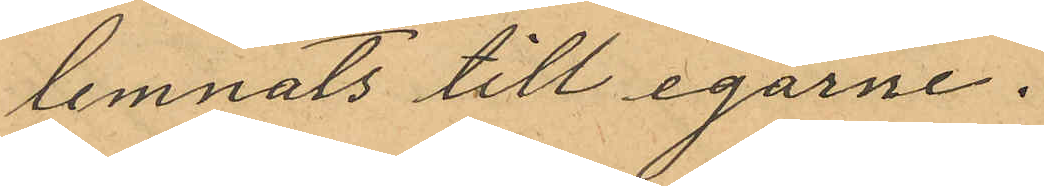lemnats till egarne.
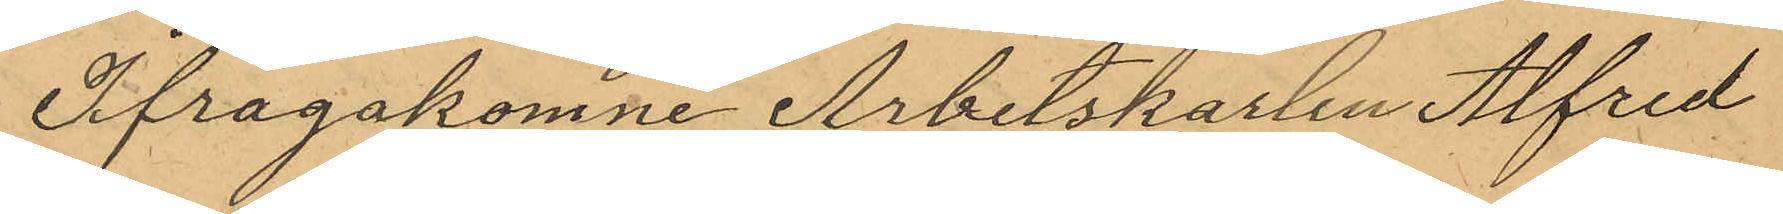Ifragakomne Arbetskarlen Alfred
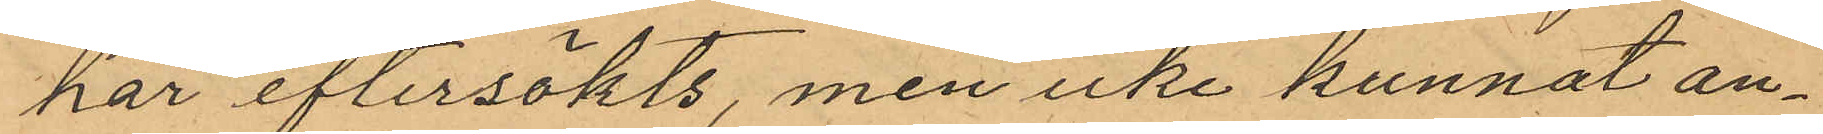har eftersökts, men icke kunnat an¬
